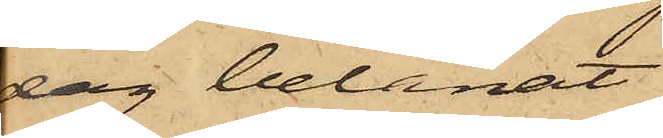dag belånat
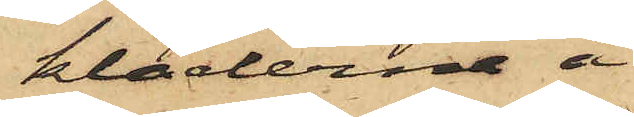kläderne å
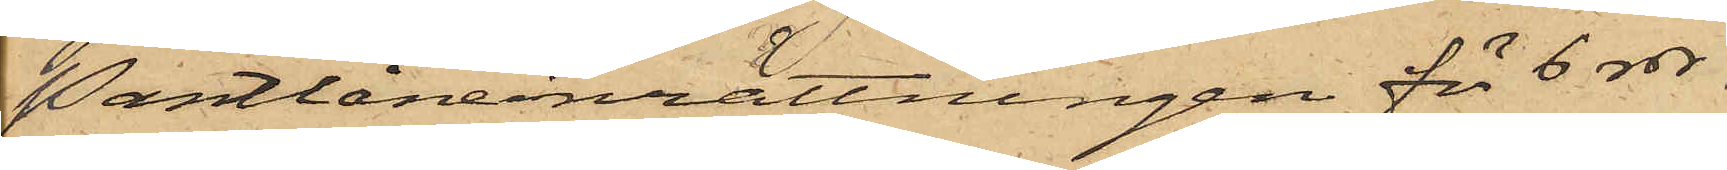Pantlåneinrättningen för 6 rdr
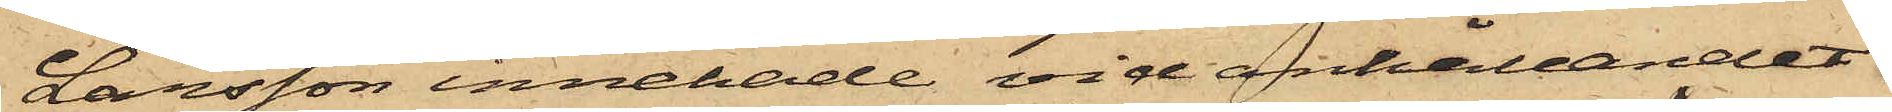Larsson innehade vid anhållandet
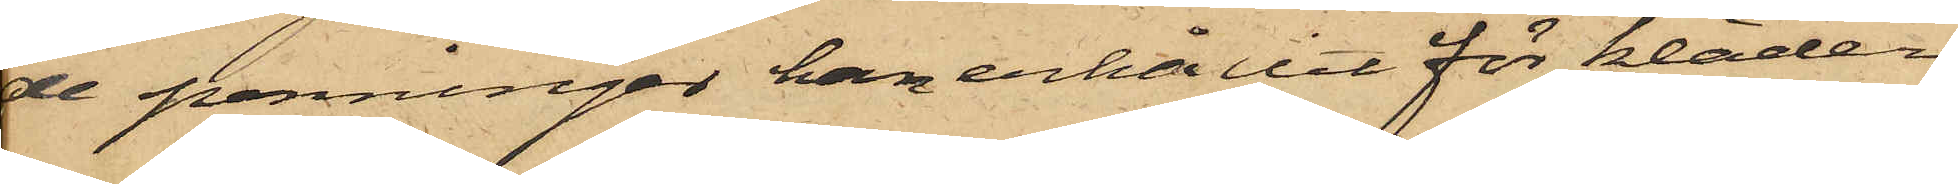de penningar han erhållit för kläder¬
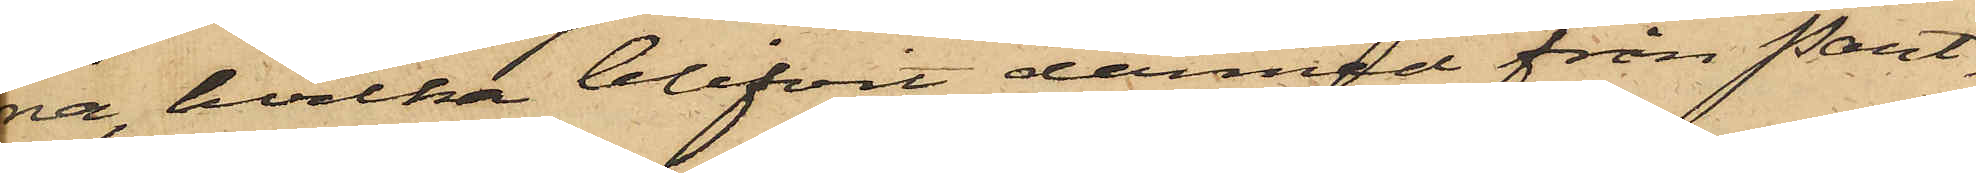na, hvilka blifvit dermed från Pant¬
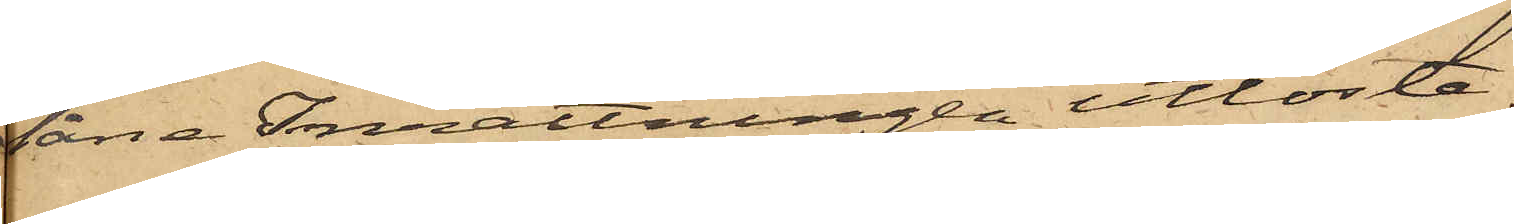låne Inrättningen utlösta.
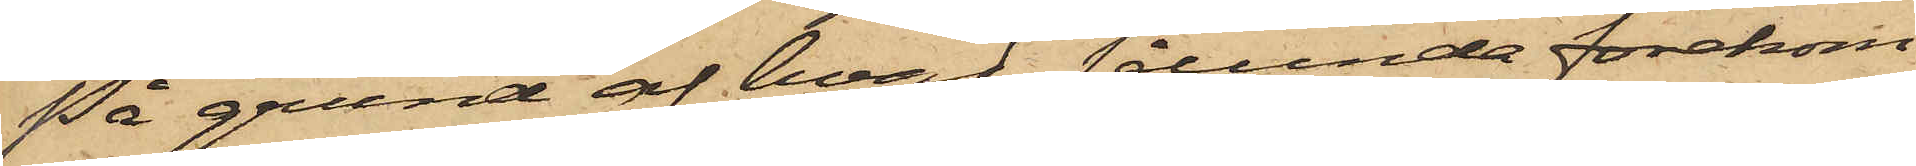På grund af hvad sålunda förekom¬
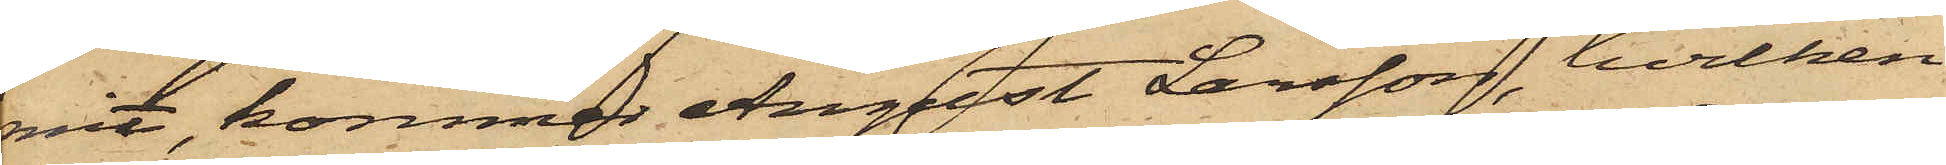mit, kommer August Larsson, hvilken
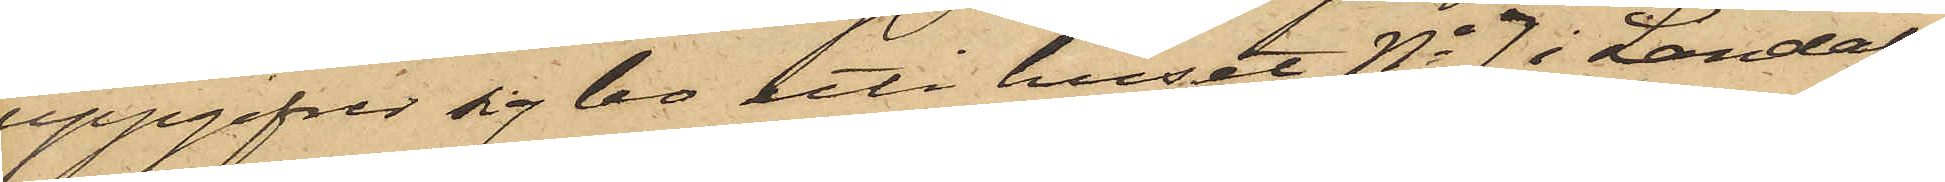uppgifver sig bo uti huset No 7 i Landala¬
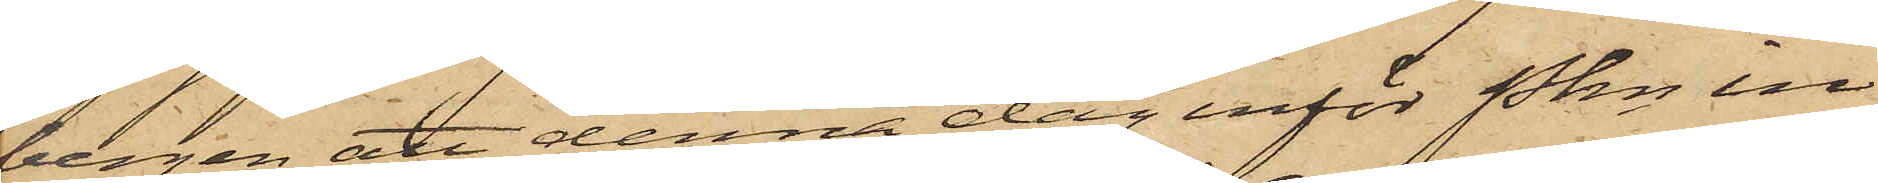bergen att denna dag inför Pkn in¬
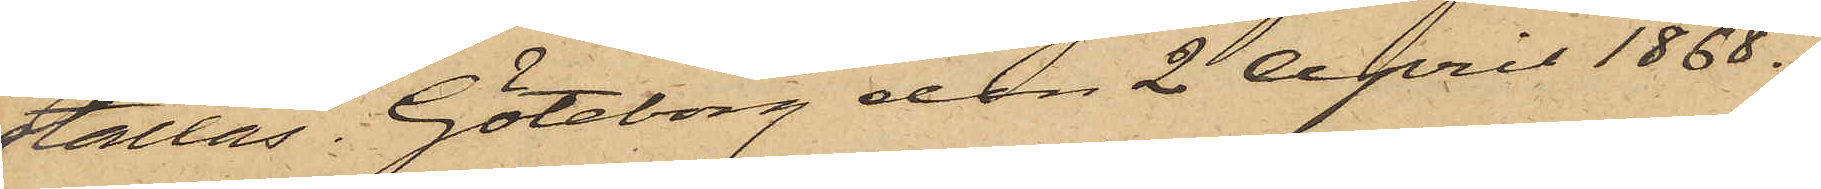ställas. Göteborg den 2 April 1868.
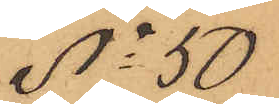No 50
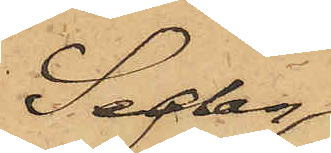Sedan
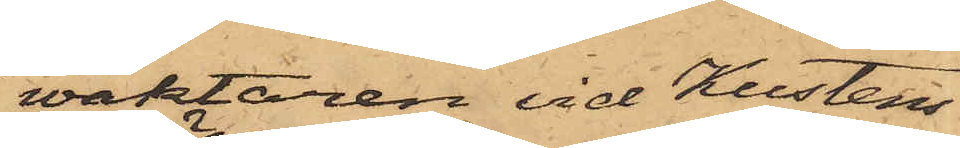wäktaren vid Kustens
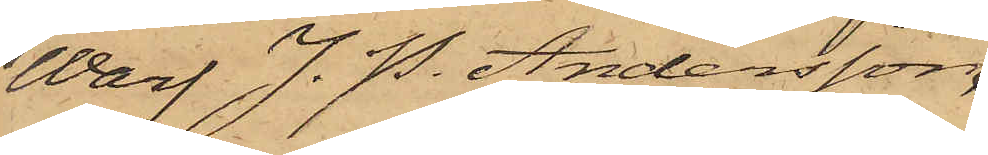Warf J. P. Andersson
